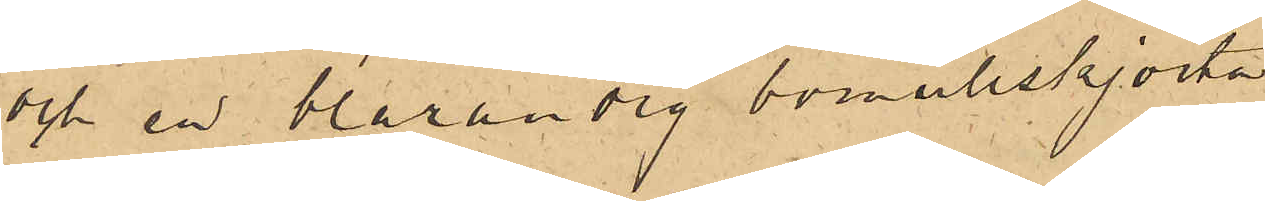och en blårandig bomullskjorta
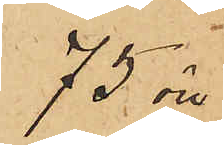75 öre
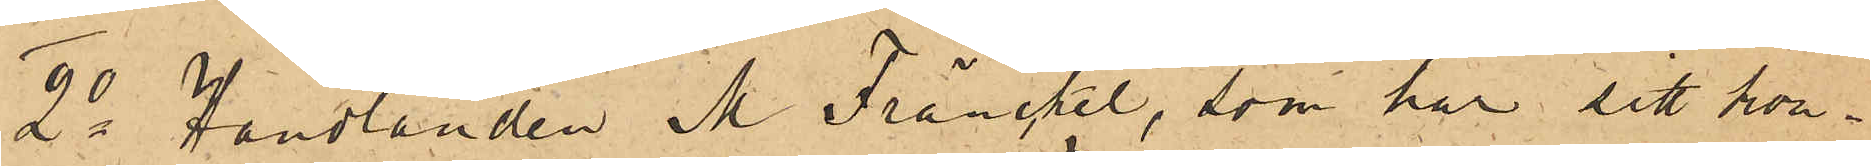2o Handlanden M. Fränckel, som har sitt kon¬
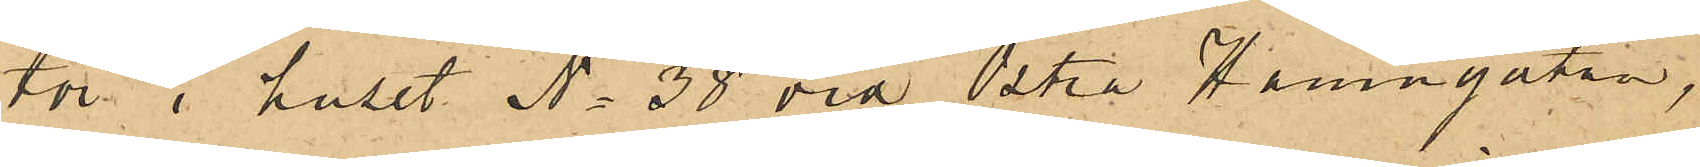tor i huset No 38 vid Östra Hamngatan,
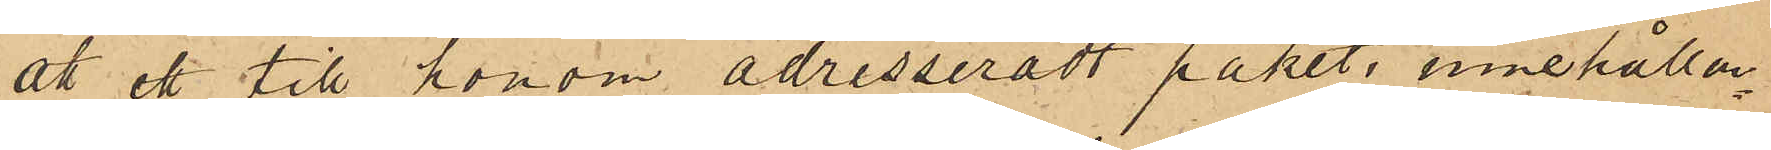att ett till honom adresseradt paket, innehållan¬
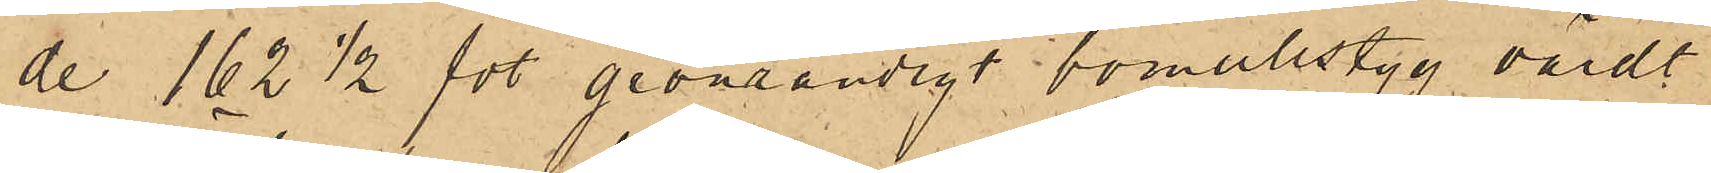de 162½ fot grönrandigt bomullstyg, värdt
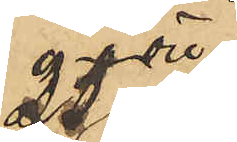25 öre
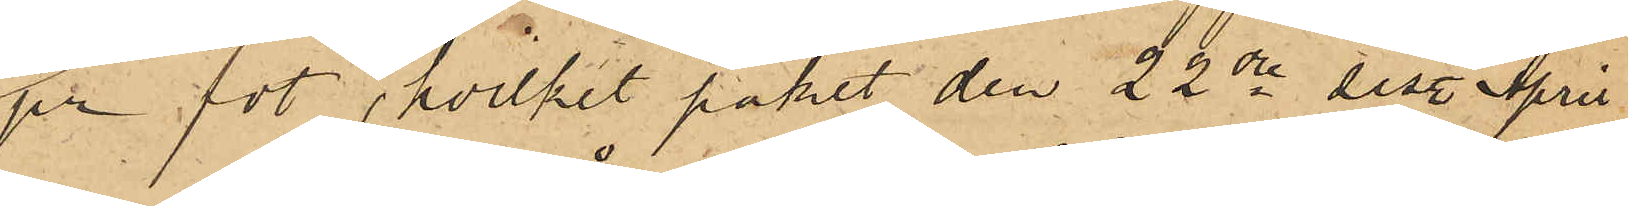pr fot, hvilket paket den 22dre sist. April
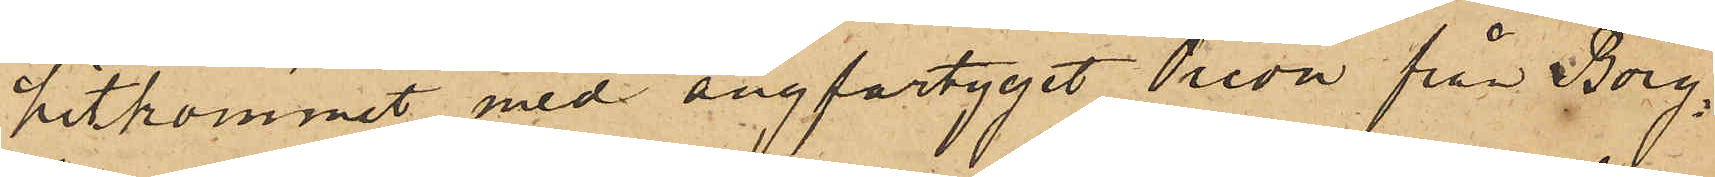hitkommit med ångfartyget Orion från Borg¬
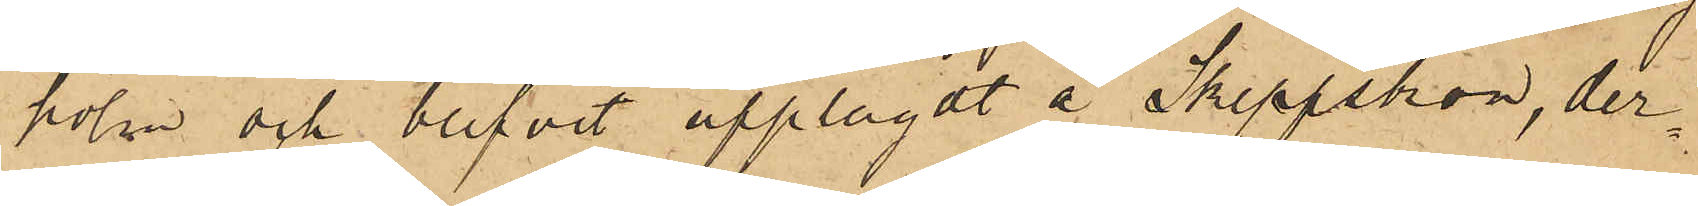holm och blifvit upplagdt å Skeppsbron, der¬
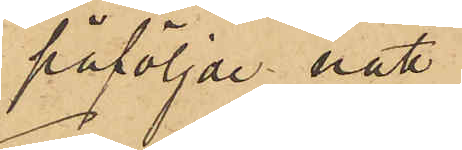påföljde natt 
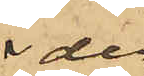der
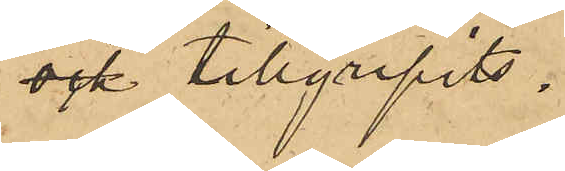ock tillgripits.
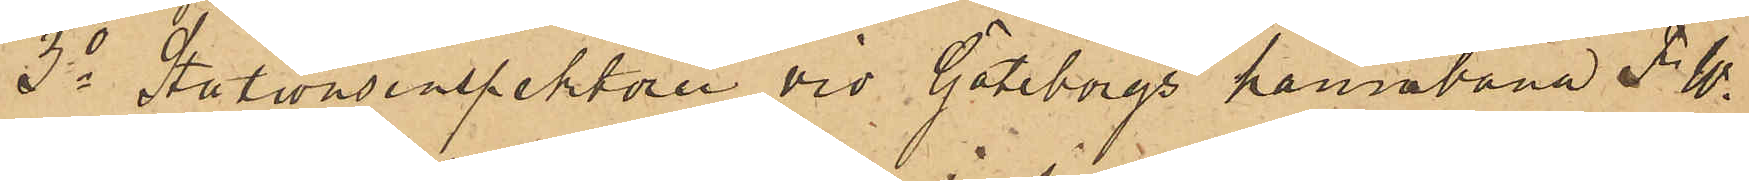3o Stationsinspektoren vid Göteborgs hamnbana F. W.
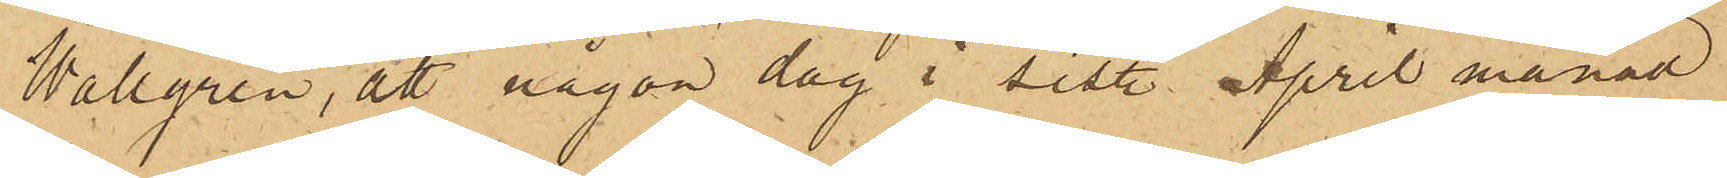Wallgren, att någon dag i sist. April månad
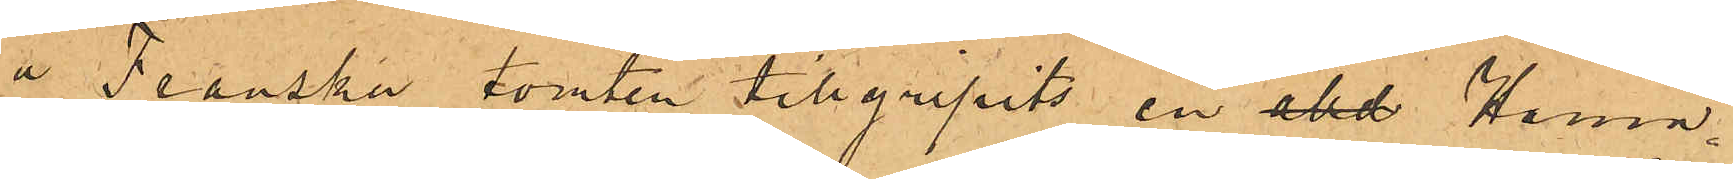å Franska tomten tillgripits en akd Hamn¬
